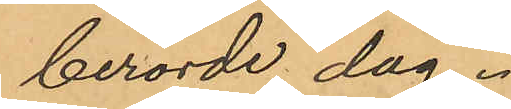berörde dag.
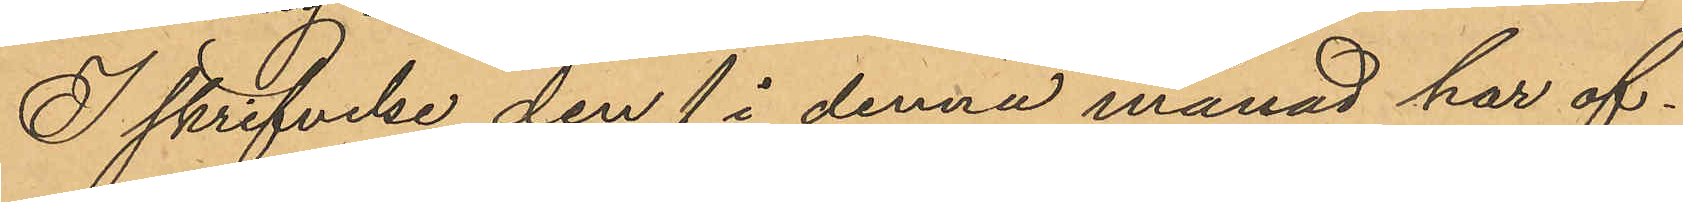I skrifvelse den 1 i denna månad har of¬
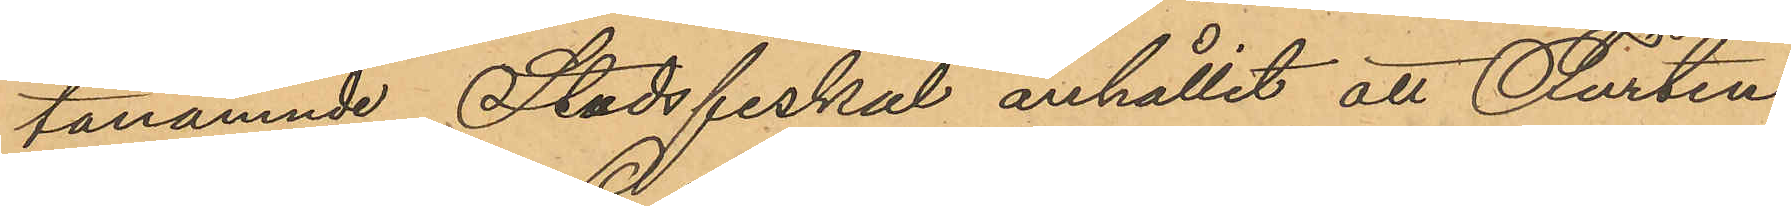tanämnde Stadsfiskal anhållit att Furten¬
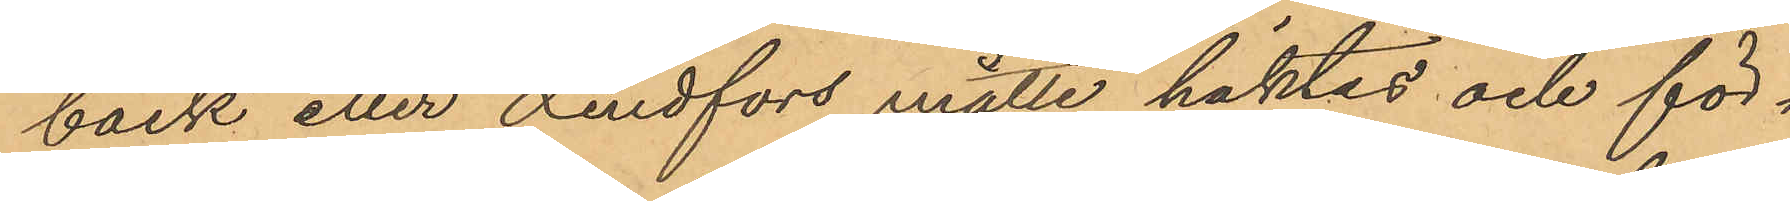back eller Lindfors måtte häktas och för¬
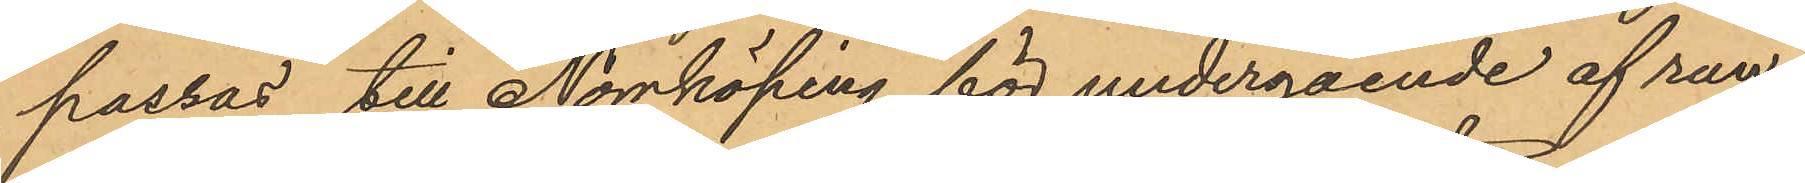passas till Norrköping för undergående af ran¬
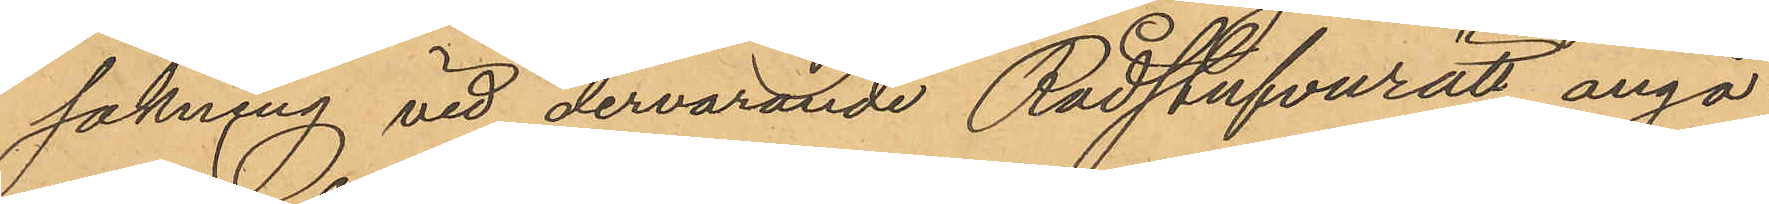sakning vid dervarande Rådstufvurätt angå¬
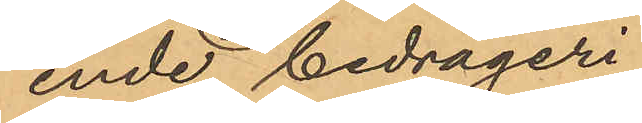ende bedrägeri.
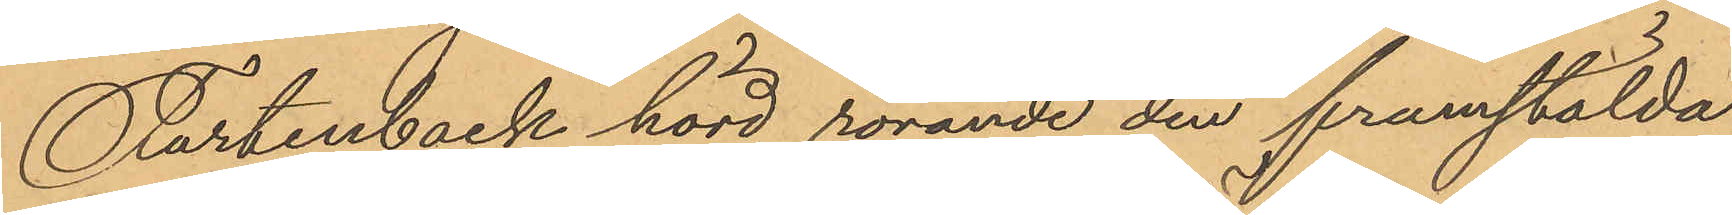Furtenback hörd rörande den framstälda
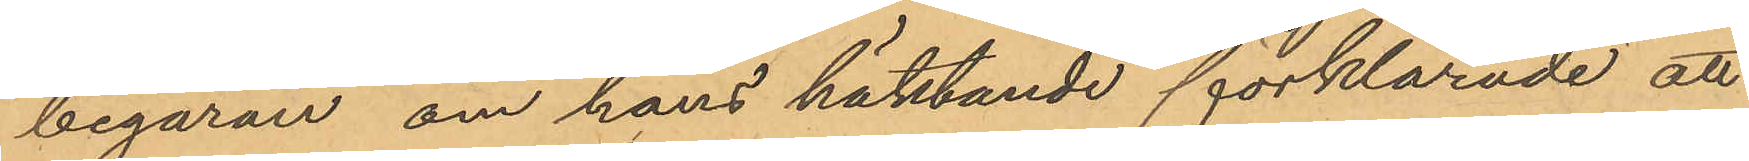begäran om hans häktande förklarade att
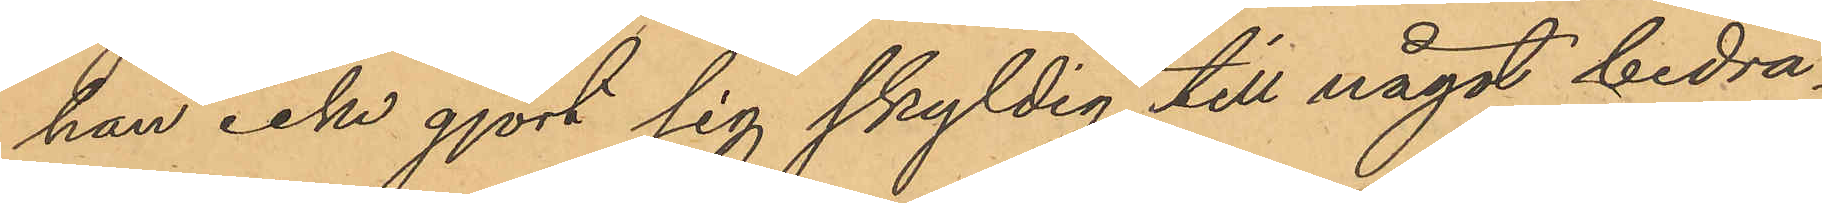han icke gjort sig skyldig till något bedrä¬
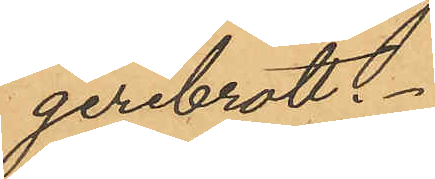geribrott.
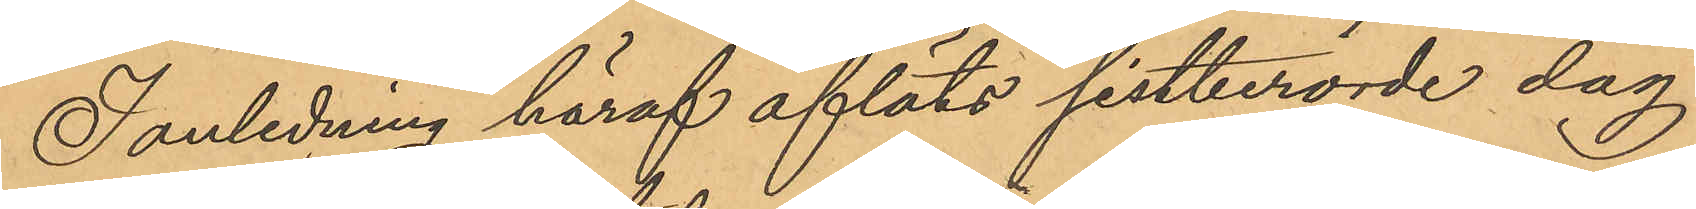I anledning häraf afläts sistberörde dag
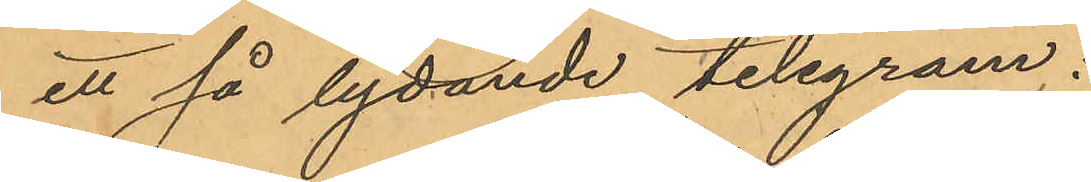ett så lydande telegram:
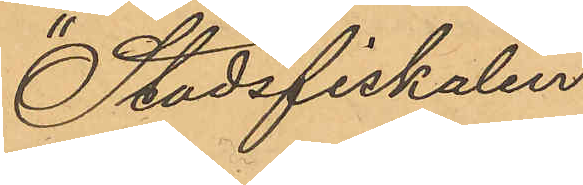"Stadsfiskalen
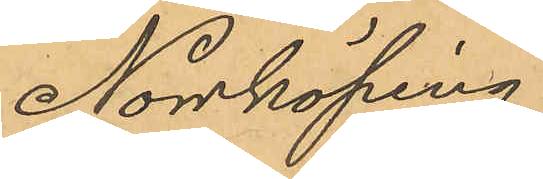Norrköping.
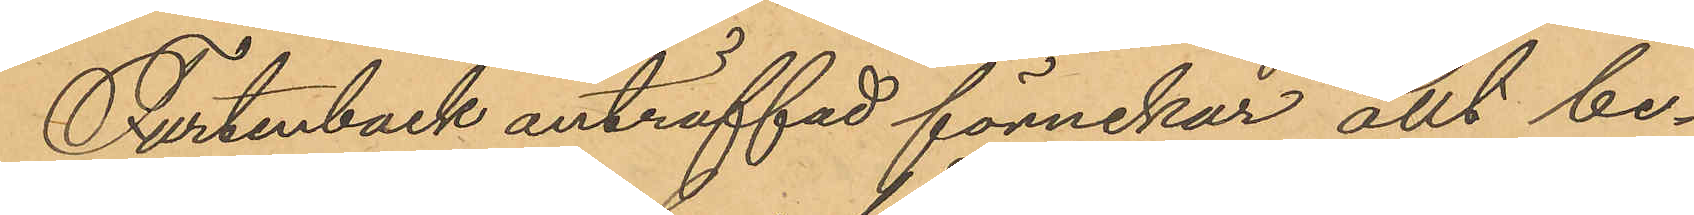Furtenback anträffad fönnekar allt be¬
